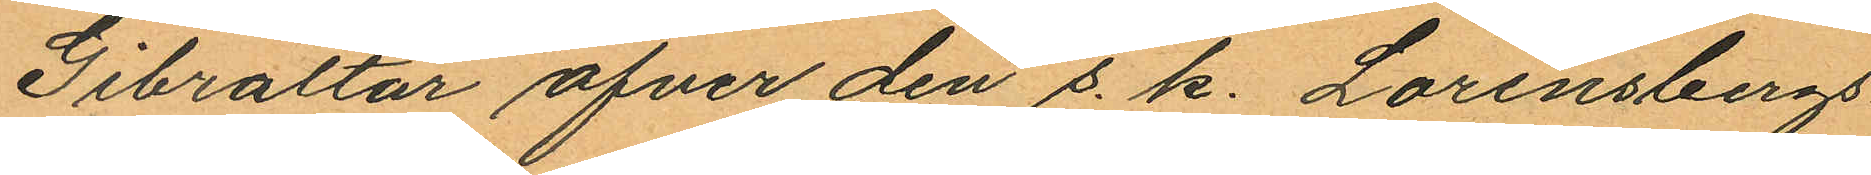Gibraltar öfver den s. k. Lorensbergs
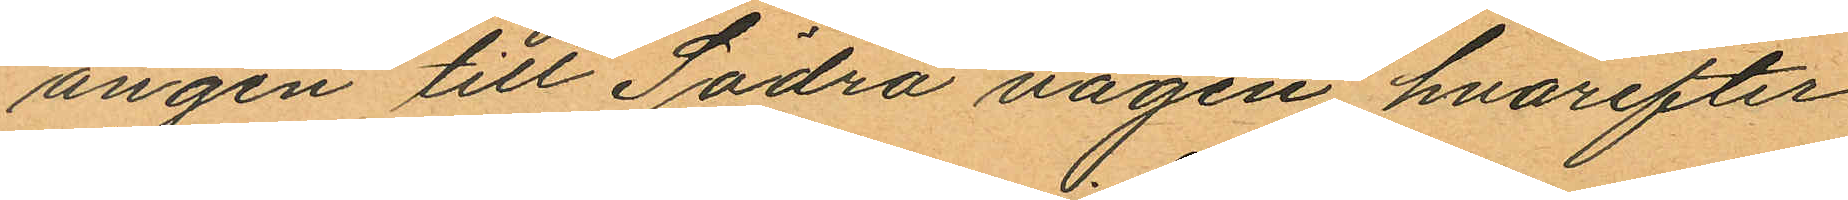ängen till Södra vägen hvarefter
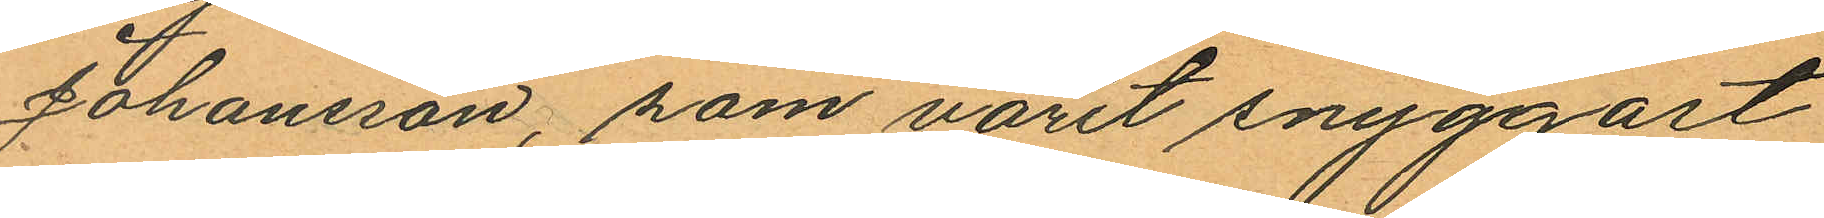Johansson, som varit snyggast
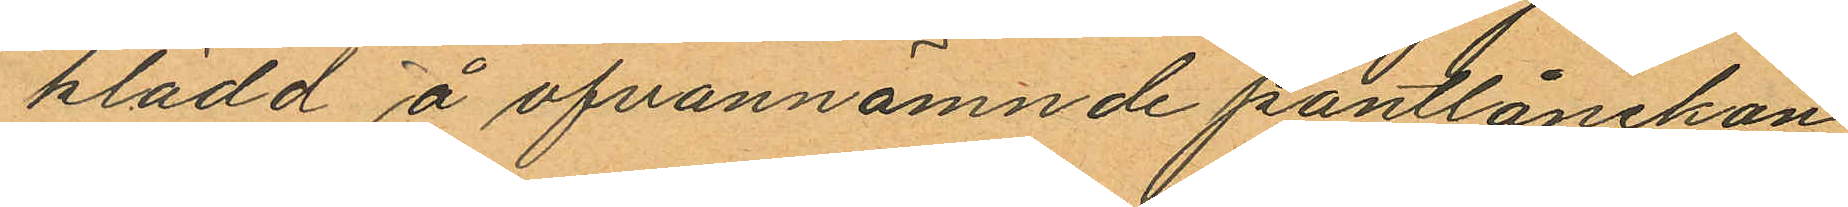klädd å ofvannämnde pantlånekon
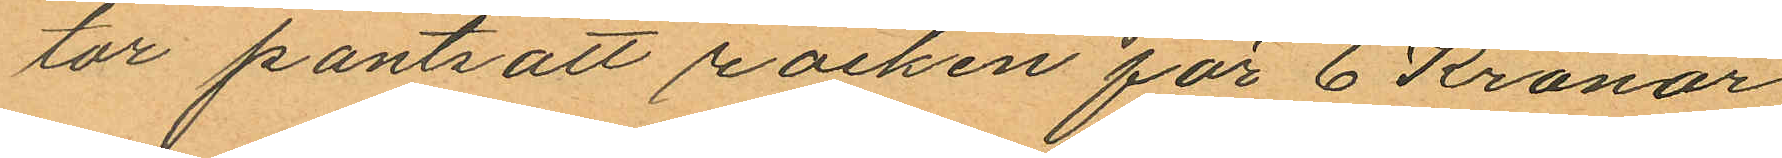tor pantsatt rocken för 6 Kronor
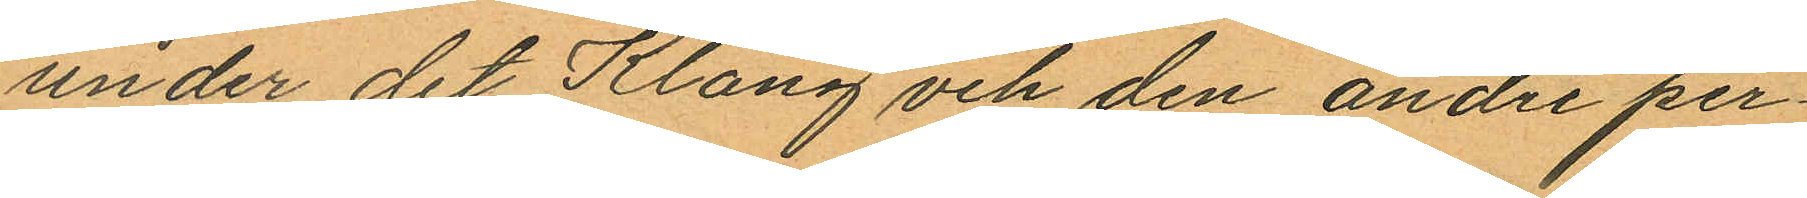under det Klang och den andre per¬
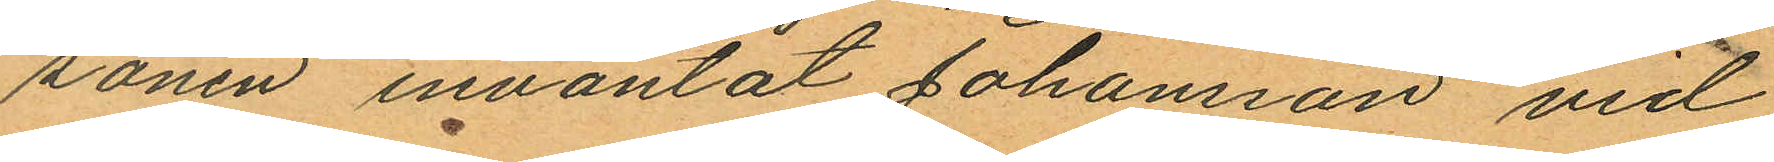sonen inväntat Johansson vid
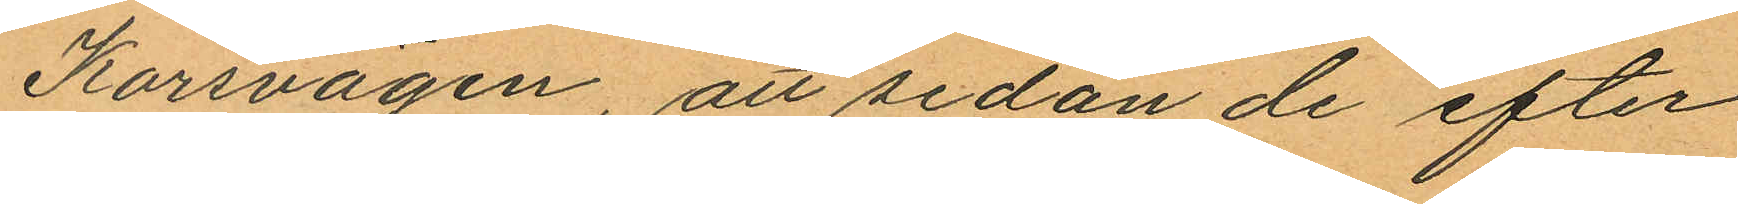Korsvägen, att sedan de efter
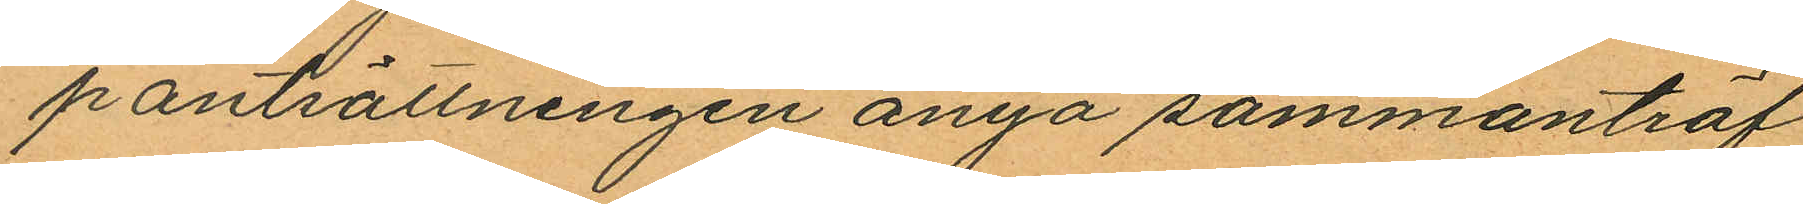pantsättningen ånyo sammanträf
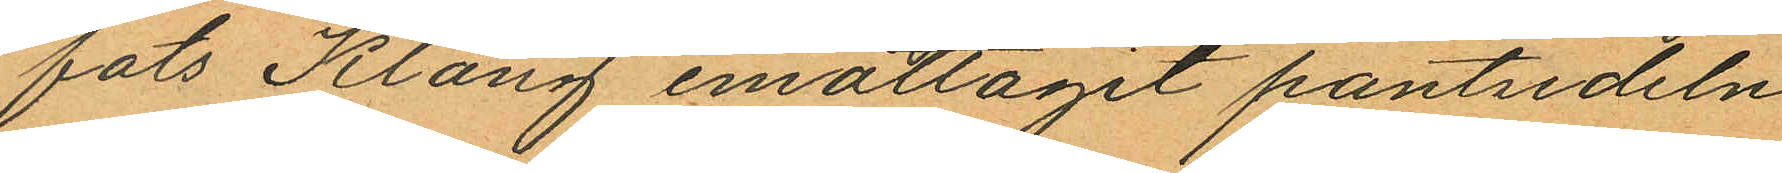fats Klang emottagit pantsedeln
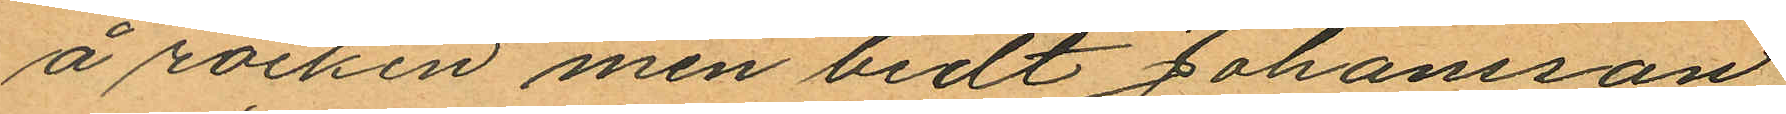å rocken men bedt Johansson
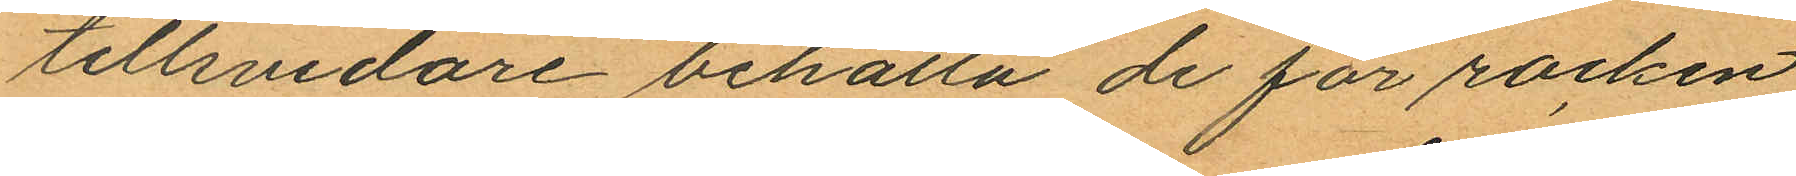tillsvidare behålla de för rocken
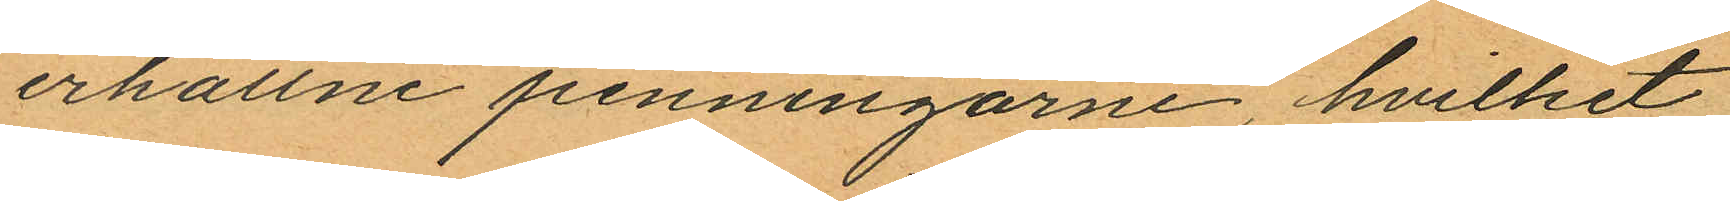erhållne penningarne, hvilket
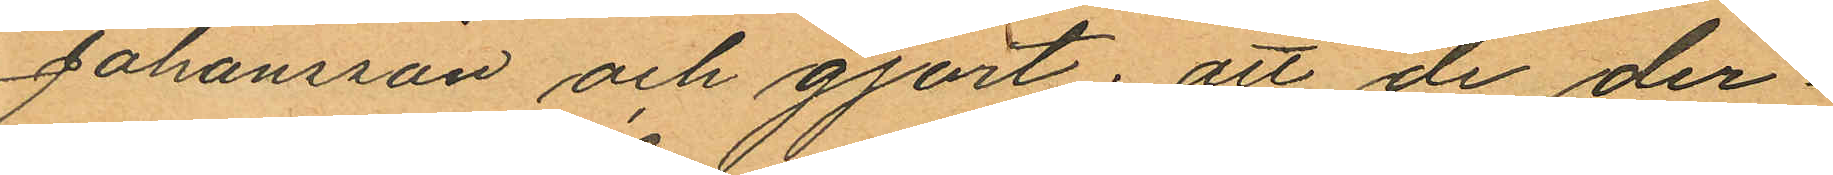Johansson och gjort; att de der¬
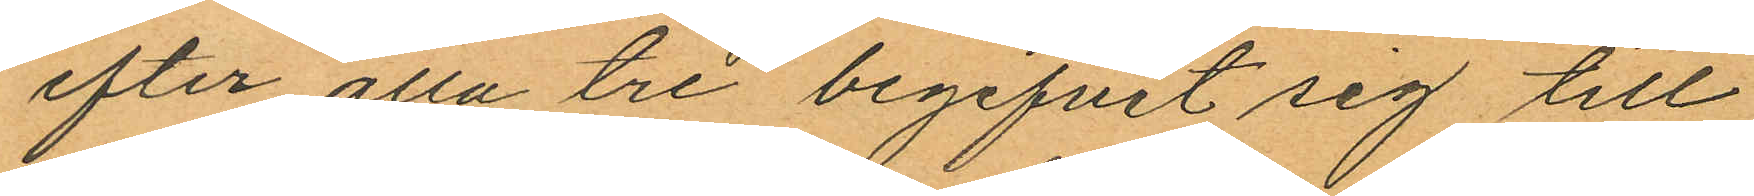efter alla tre begifvit sig till
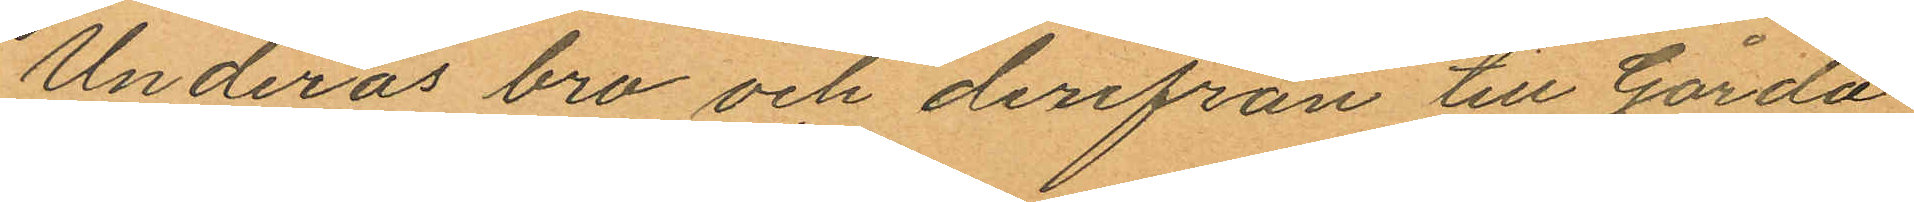Underås bro och derifrån till Gårda
